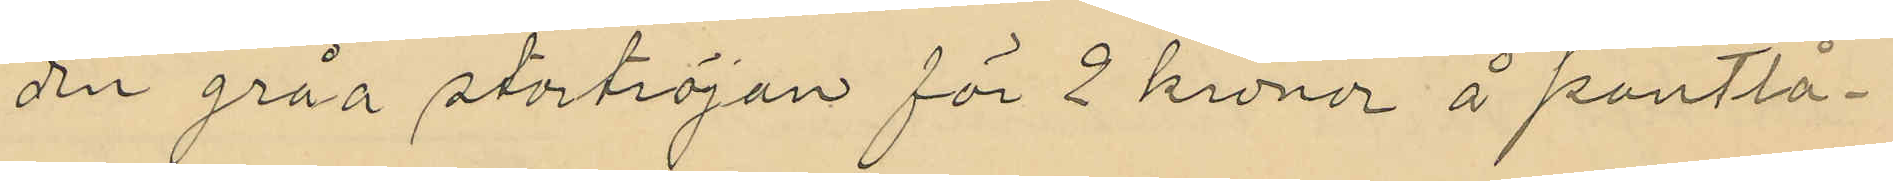den gråa stortröjan för 2 kronor å pantlå¬
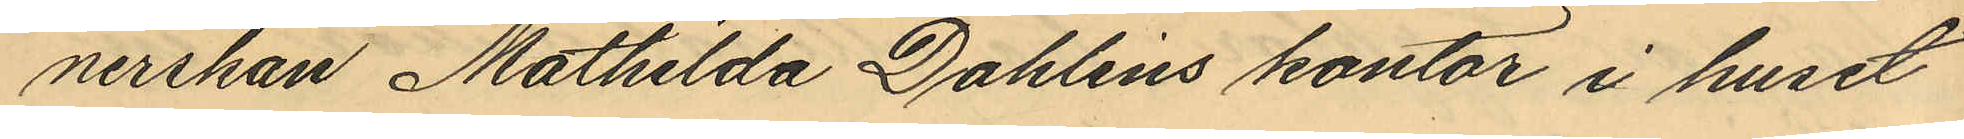nerskan Mathilda Dahlins kontor i huset
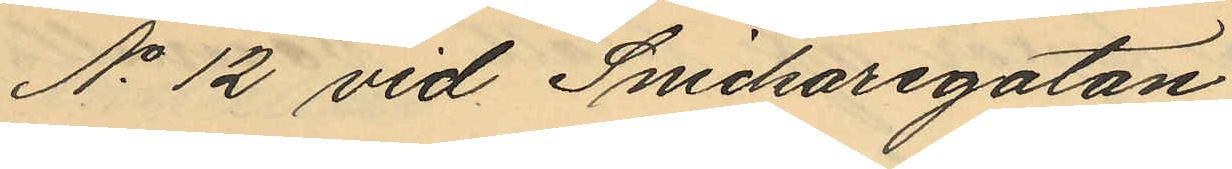No 12 vid Snickaregatan;
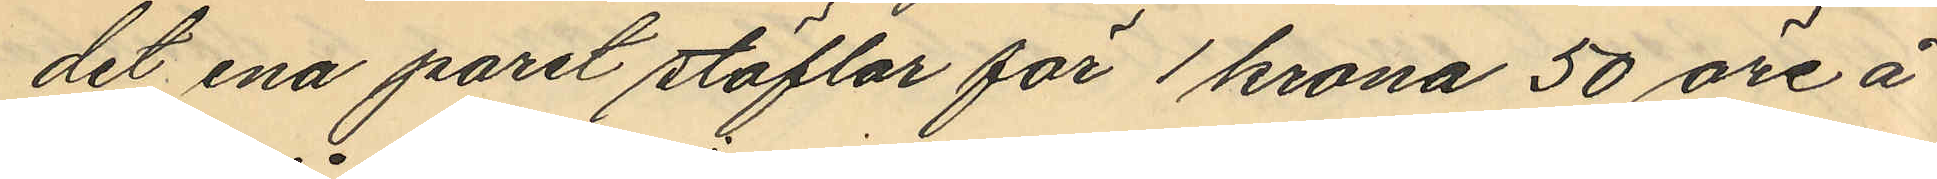det ena paret stöflar för 1 krona 50 öre å
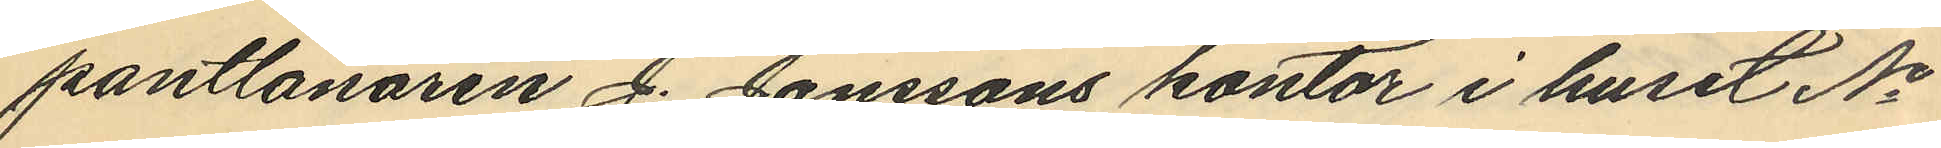pantlånaren J. Jonssons kontor i huset No
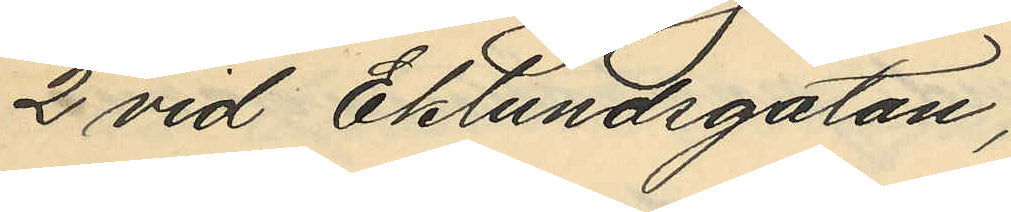2 vid Eklundsgatan;
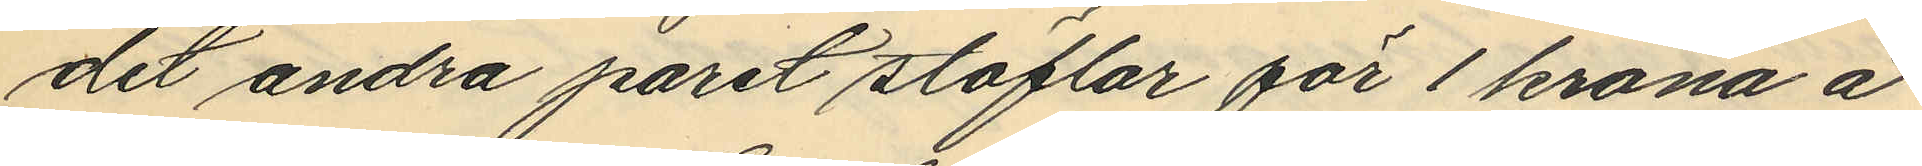det andra paret stöflar för 1 krona å
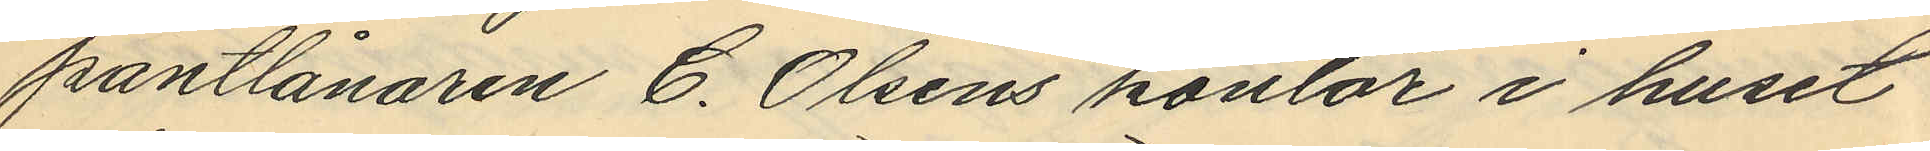pantlånaren C. Olsens kontor i huset
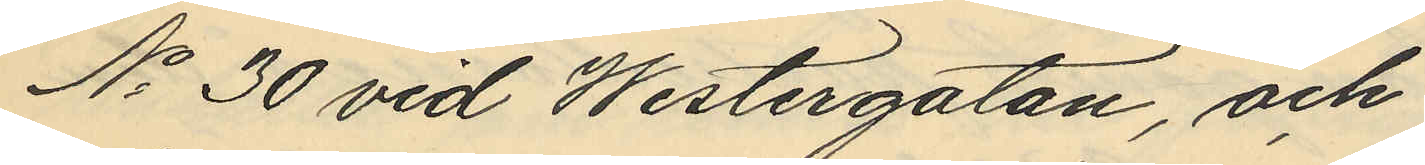No 30 vid Westergatan, och
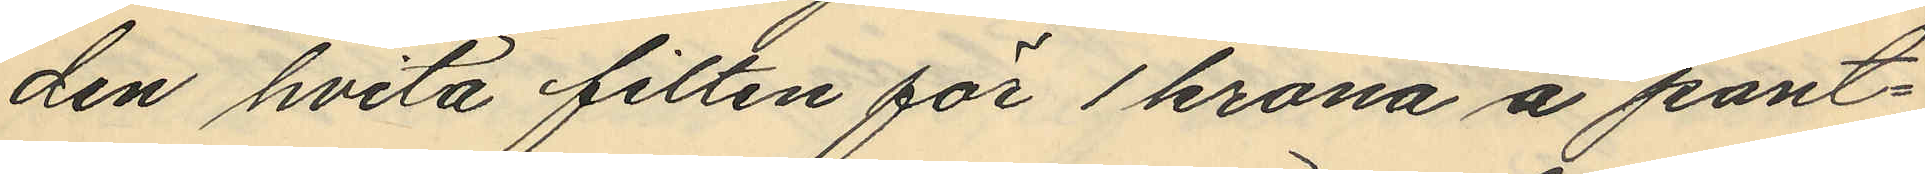den hvita filten för 1 krona å pant¬
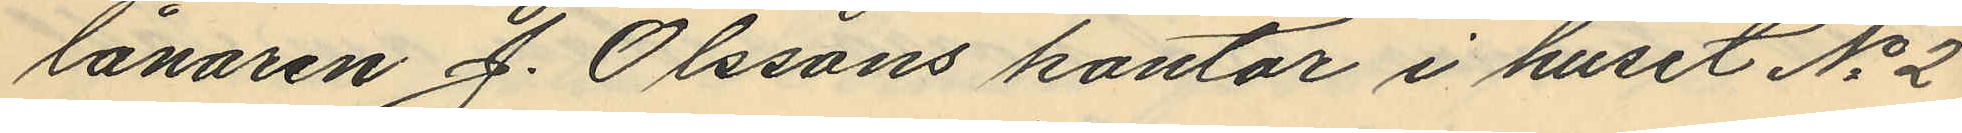lånaren J. Olssons kontor i huset No 2
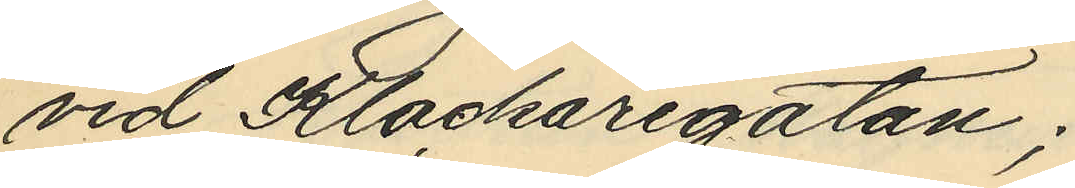vid Klockaregatan;
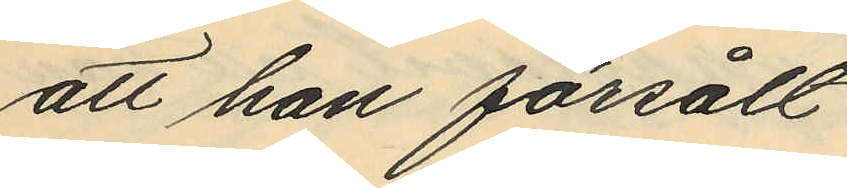att han försålt
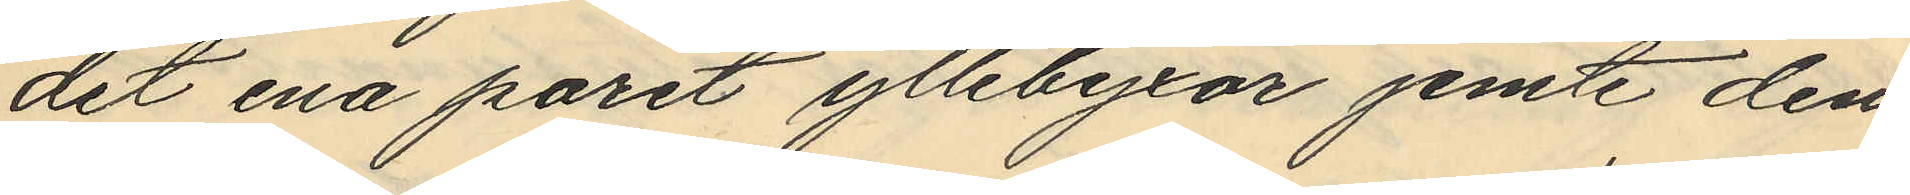det ena paret yllebyxor jemte den
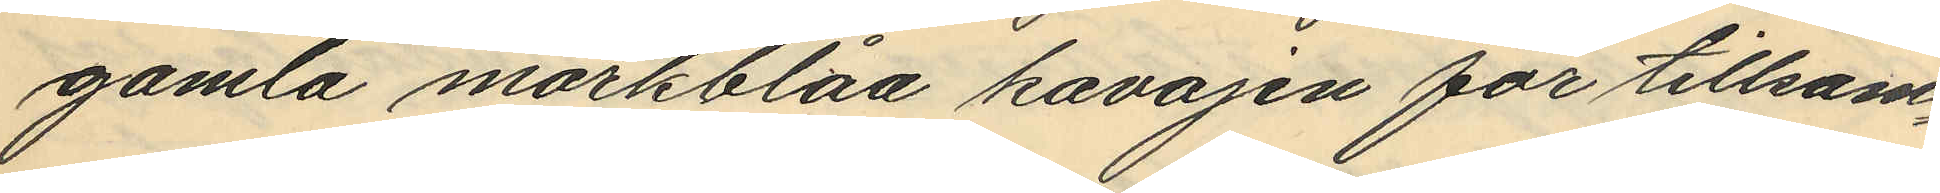gamla mörkblåa kavajen för tillsam¬
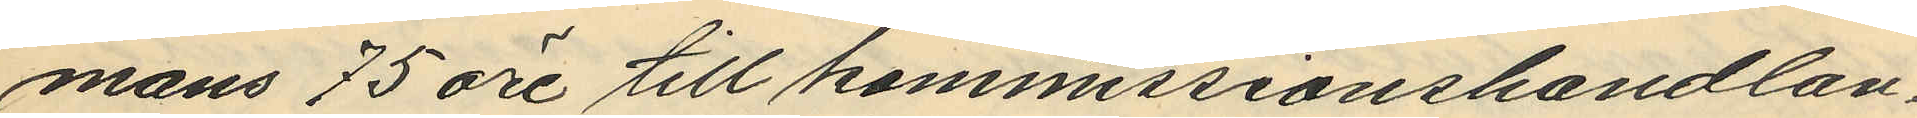mans 75 öre till kommissionshandlan¬
